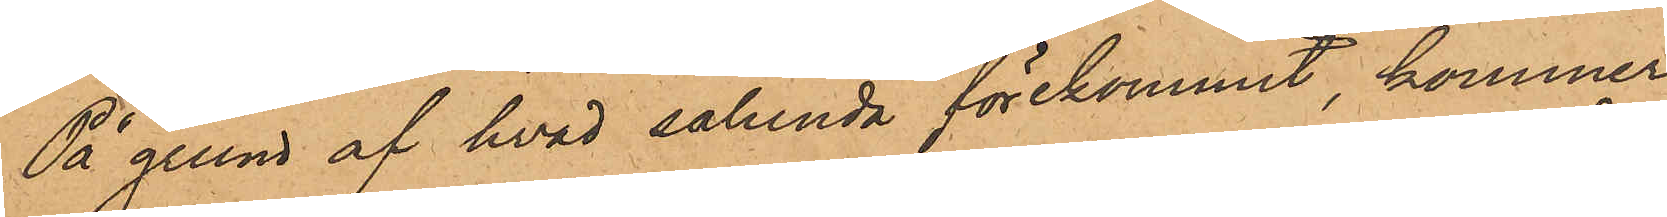På grund af hvad sålunda förekommit, kommer
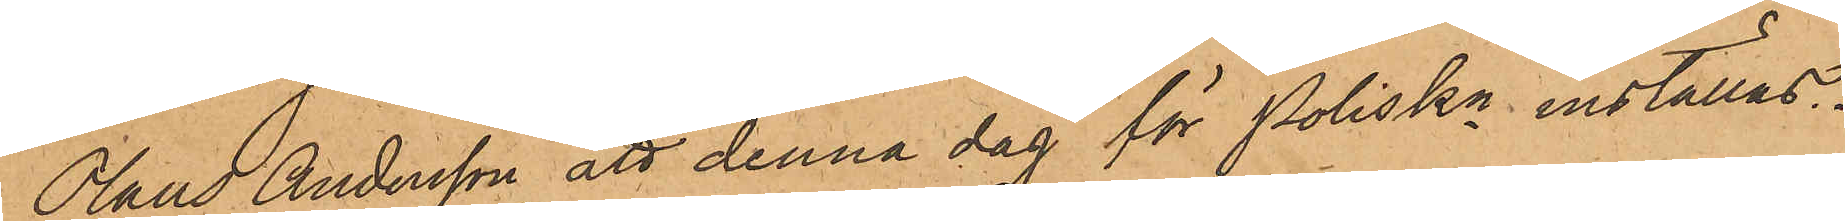Olaus Andersson att denna dag för Poliskn inställas.
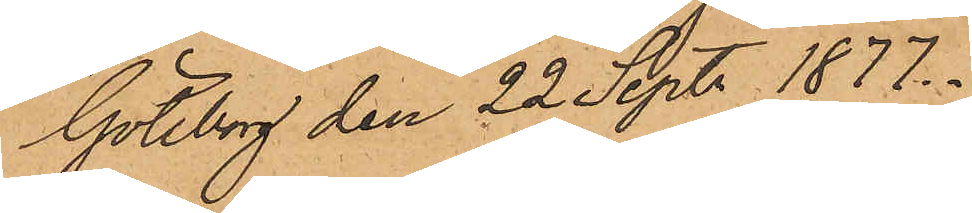Göteborg den 22 Sept. 1877.
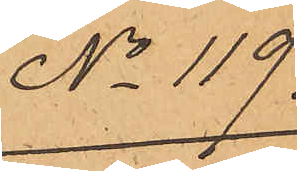No 119.
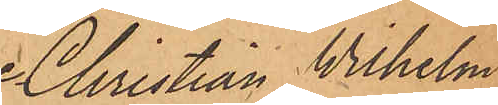Christian Wilhelm
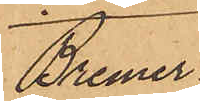Bremer.
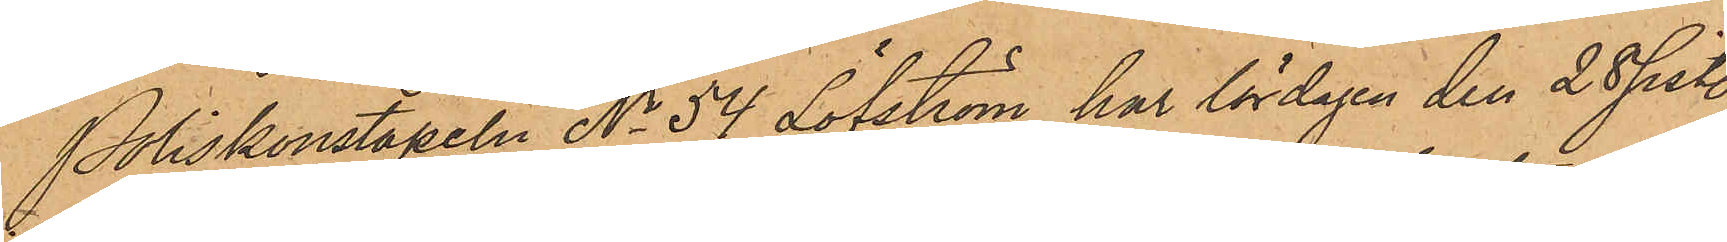Poliskonstapeln No 54 Löfström har lördagen den 28 sist.
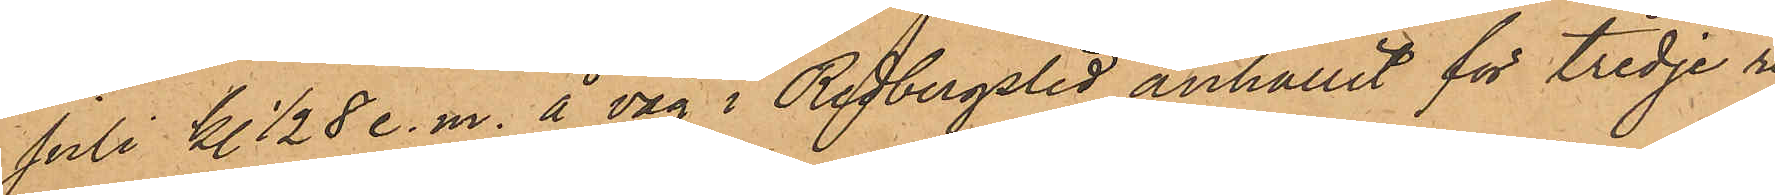Juli kl. ½8 e. m. å väg i Redbergslid anhållit för tredje re¬
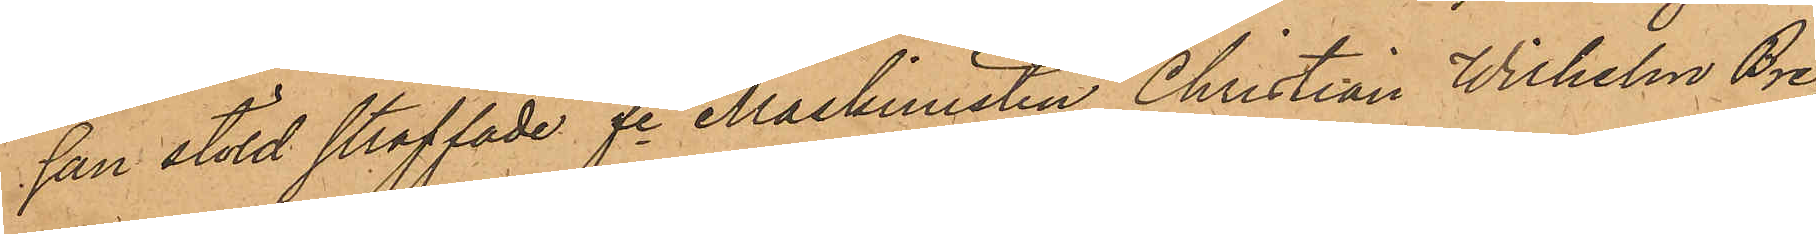san stöld straffade fre Maskinisten Christian Wilhelm Bre¬
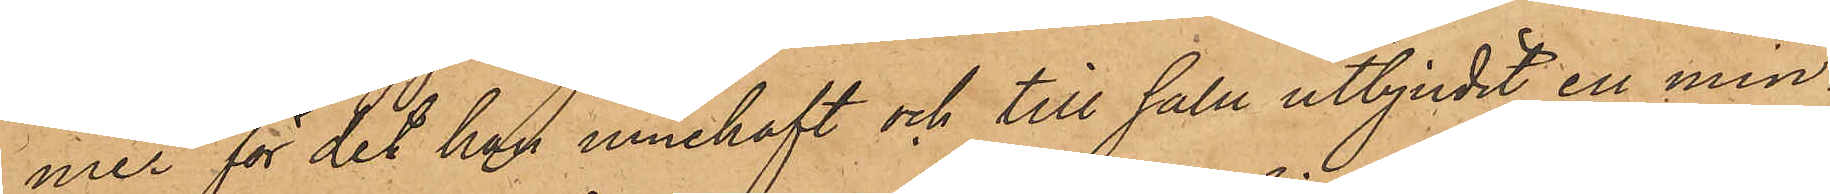mer för det han innehaft och till salu utbjudit en min¬
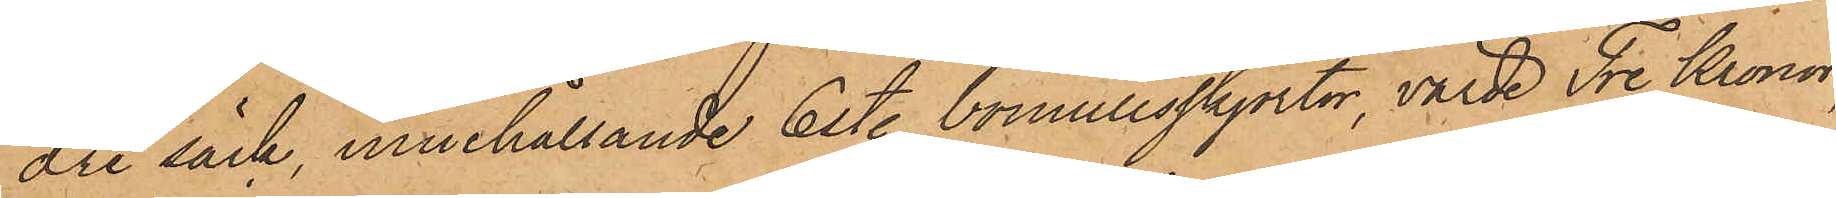dre säck, innehållande 6 sty. bomullsskjortor, värde Tre Kronor,
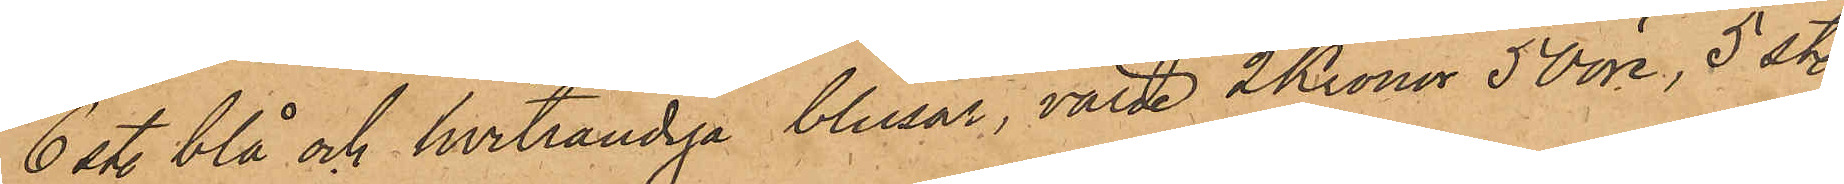6 sty. blå och hvitrandiga blusar, värde 2 Kronor 50 öre, 5 sty.
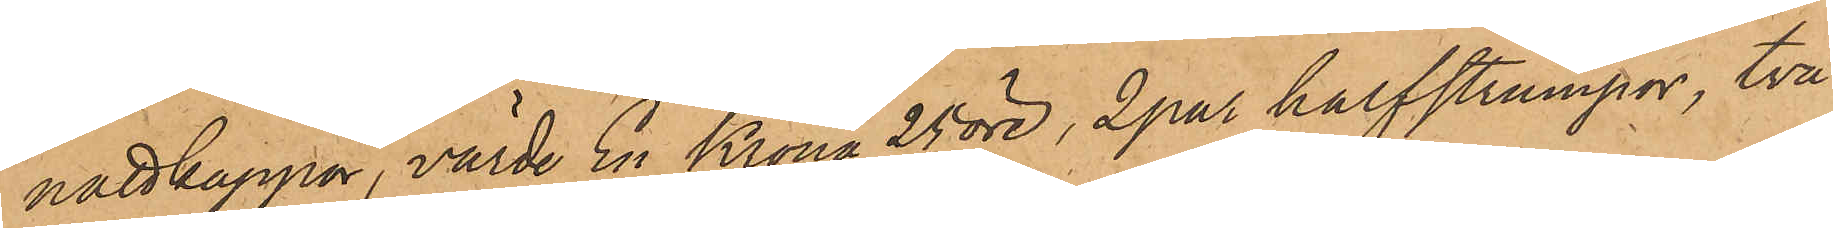nattkappor, värde En Krona 25 öre, 2 par halfstrumpor, två
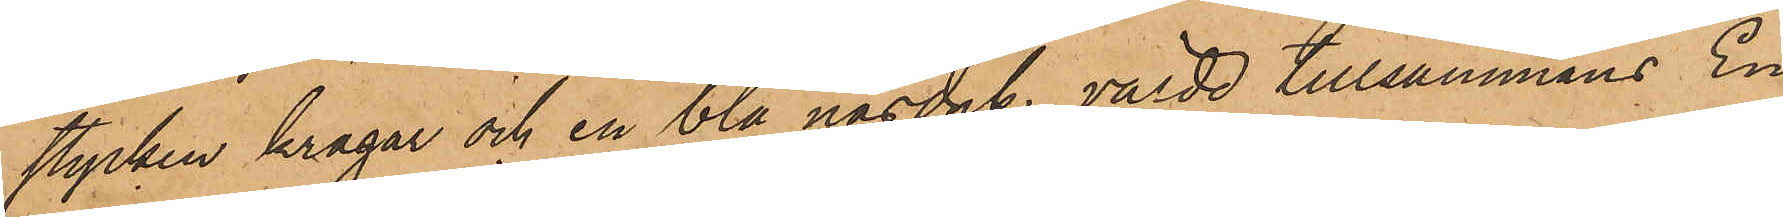stycken kragar och en blå näsduk, värde tillsammans En
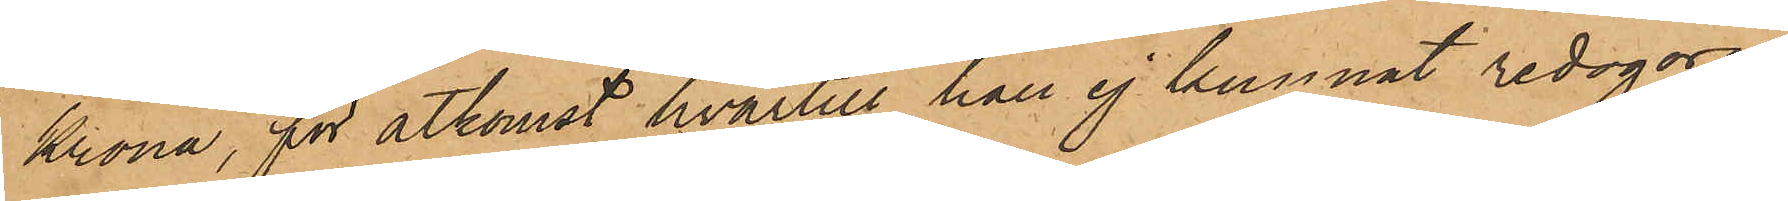Krona, för åtkomst hvartill han ej kunnat redogöra.
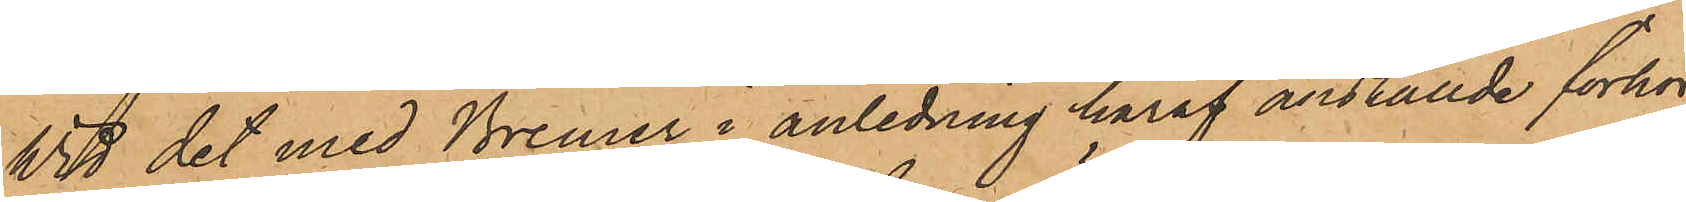Wid det med Bremer i anledning häraf anställde förhör
